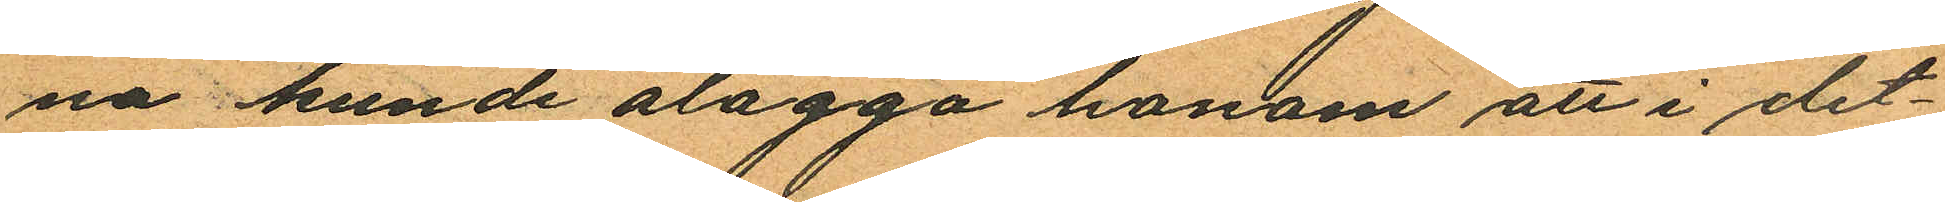na kunde ålägga honom att i det¬
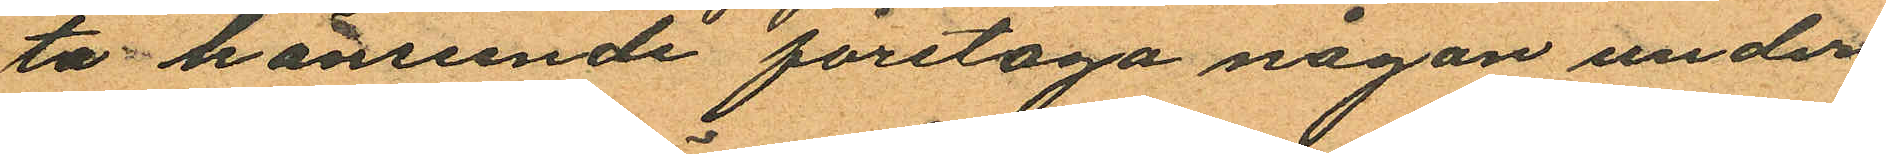ta hänsende företaga någon under
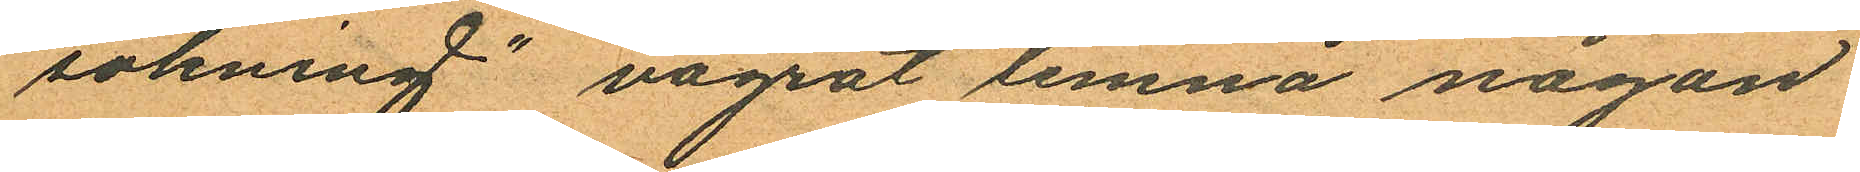sökning" vägrat lemna någon
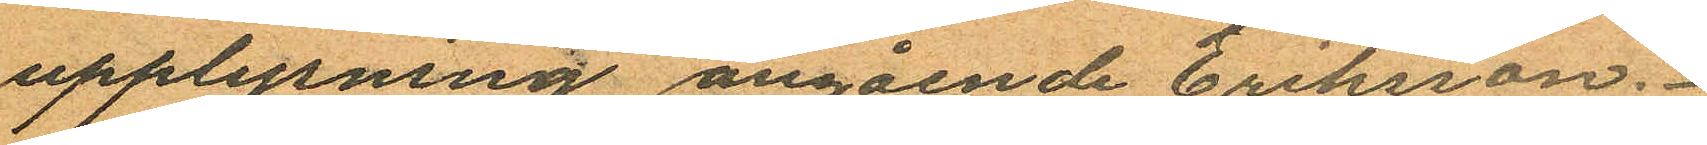upplysning angående Eriksson.
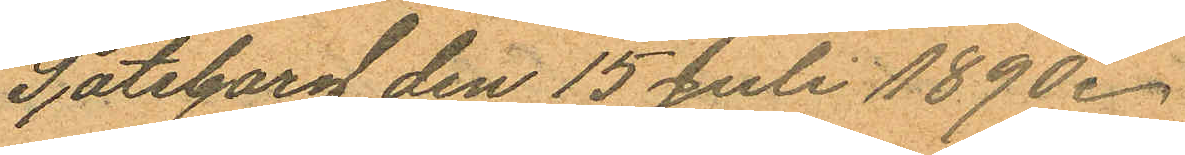Göteborg den 15 Juli 1890.
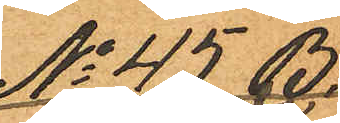No 45 B.
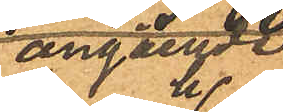angående
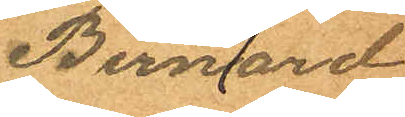Bernhard
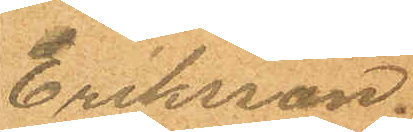Eriksson.
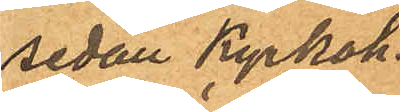sedan Kyrkoh.
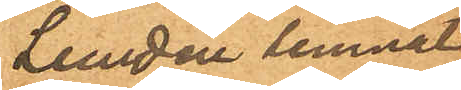Lundin lemnat
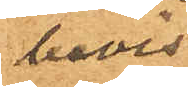bevis.
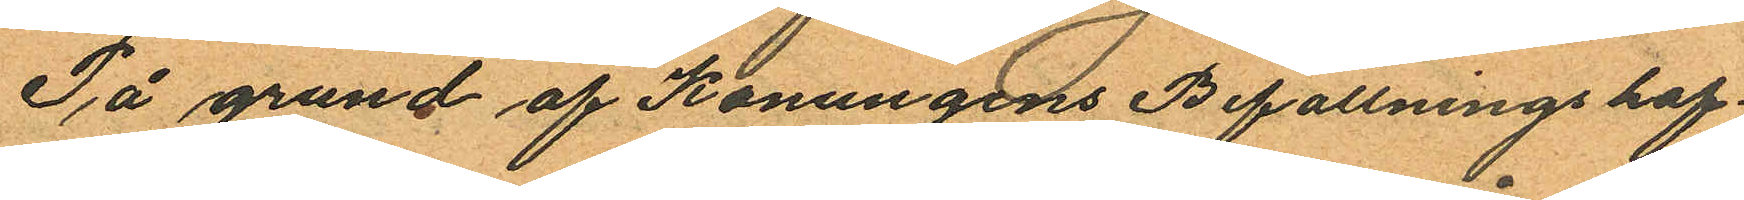På grund af Konungens Befallningshaf¬
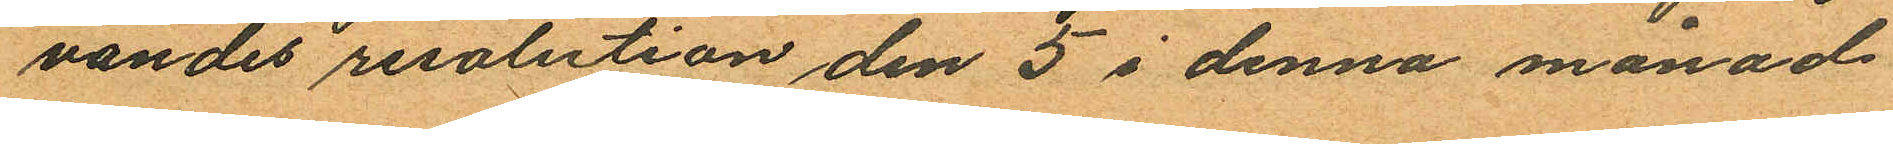vandes resolution den 3 i denna månad
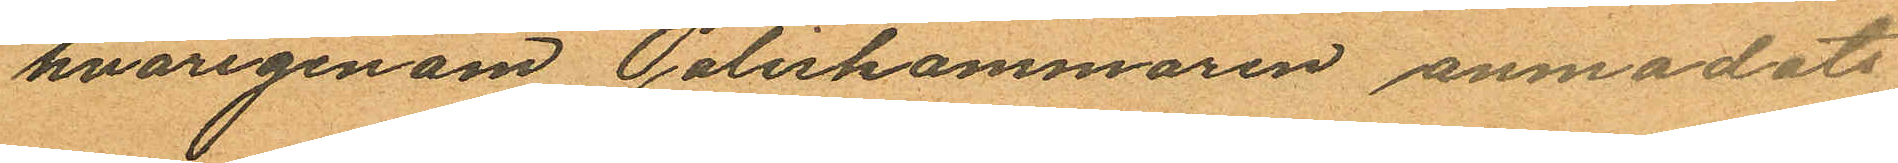hvarigenom Poliskammaren anmodats
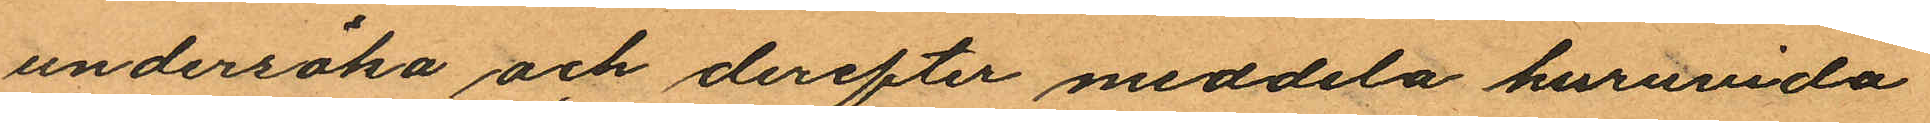undersöka och derefter meddela huruvida
